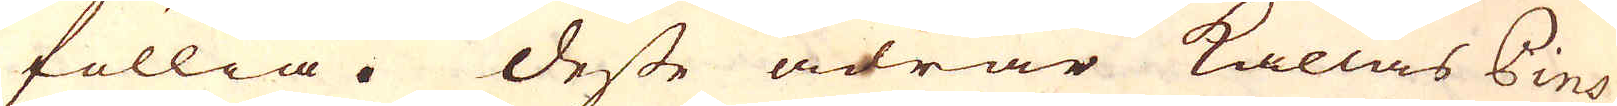föllia. Desse ådrar kallas Pins
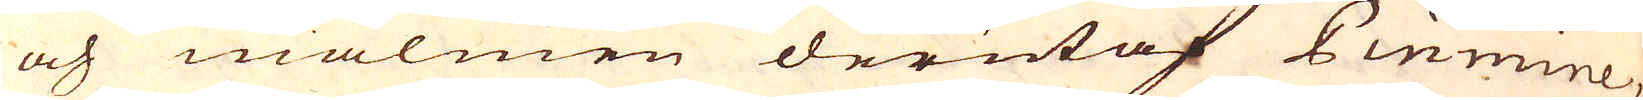och malmen derutaf Pinmine,
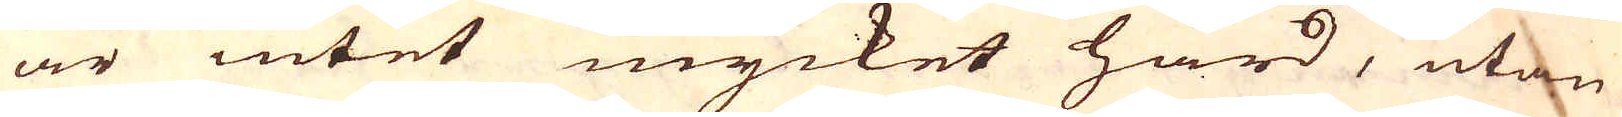är intet mycket hård, utan
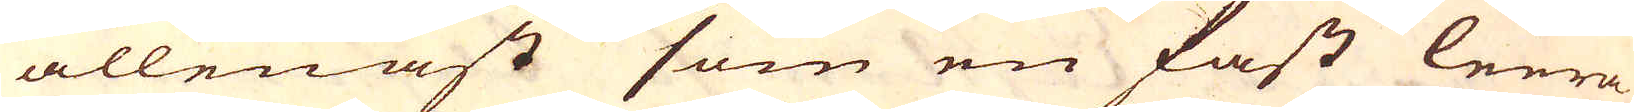allenast som en fast leera
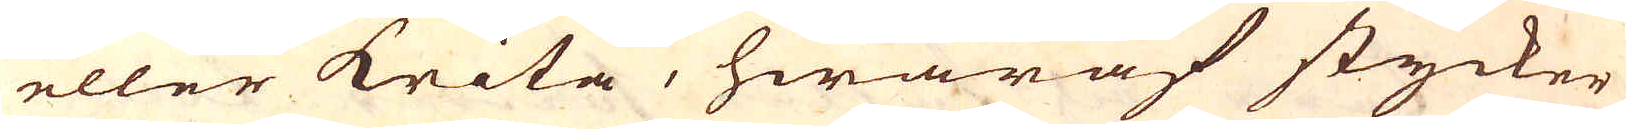eller krita, hwaraf stycker
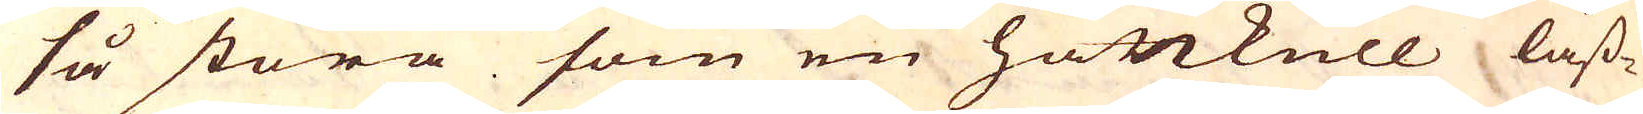så stora som en hattkull låss-
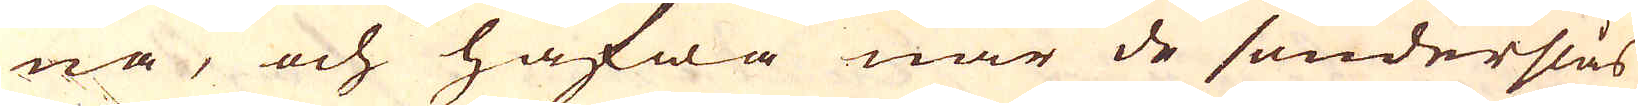na, och hafwa när de sönderslås
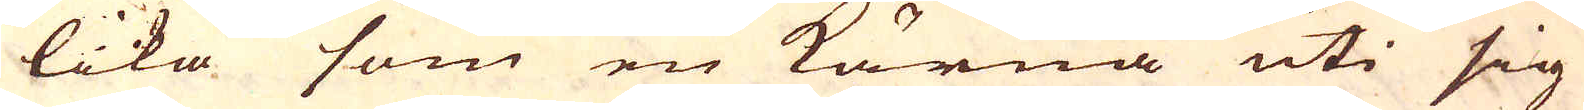lika som en Kärna uti sig
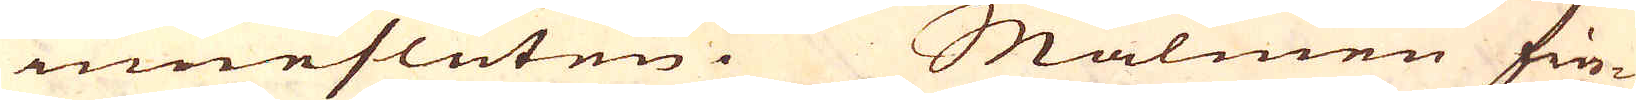innesluten. Malmen fin-
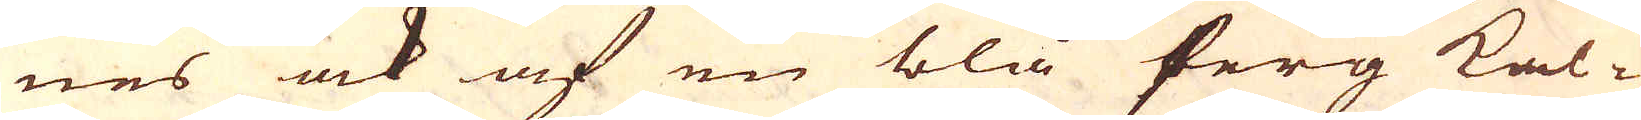nes ock af en blå ferg kal-
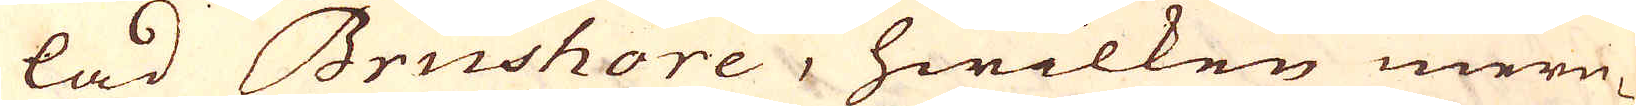lad Brushore, hwilken mern-
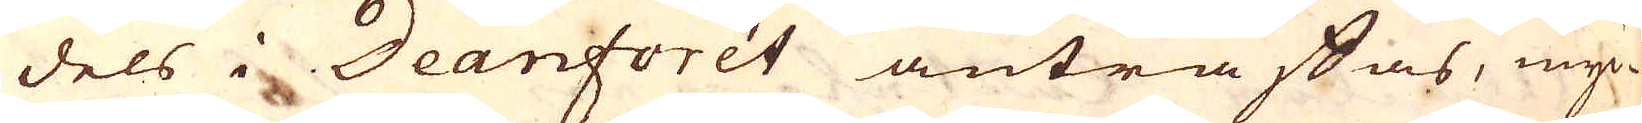dels i Deanforét anträffas, myc-
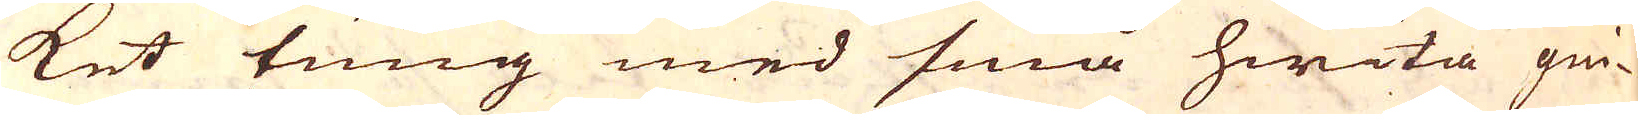ket tung med små hwita gni-
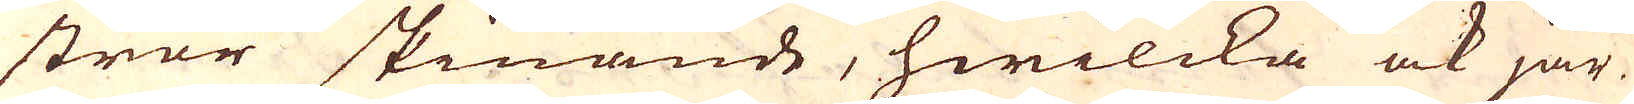stror skinande, hwilcka ock jär-
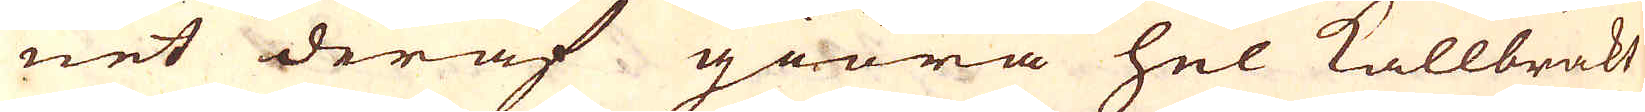net deraf giöra hel Kallbräkt
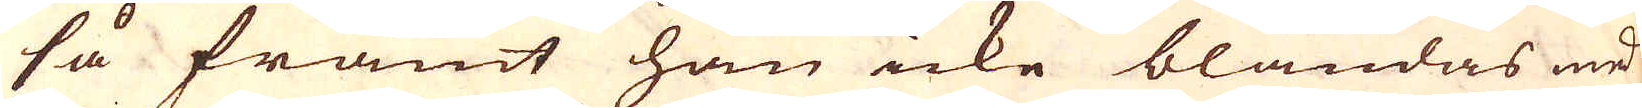så framt han icke blandas med
